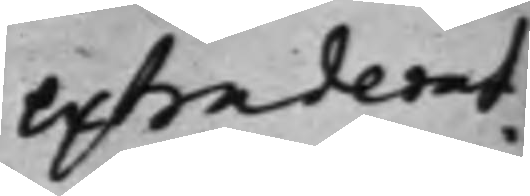extraderat.
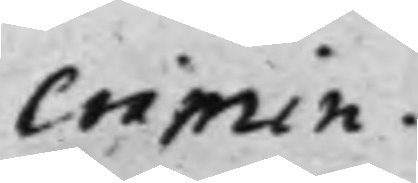Crimin.
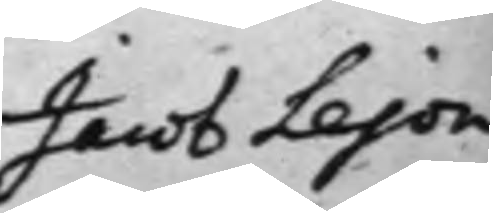Jacob Lejon¬
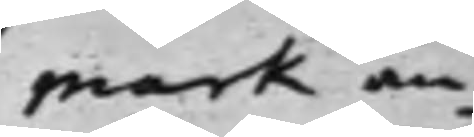mark an¬
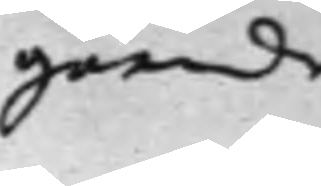gående
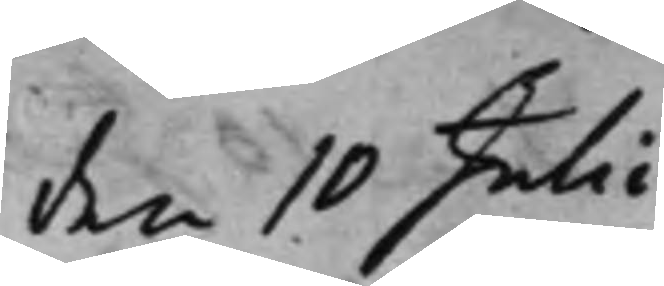den 10 Julii
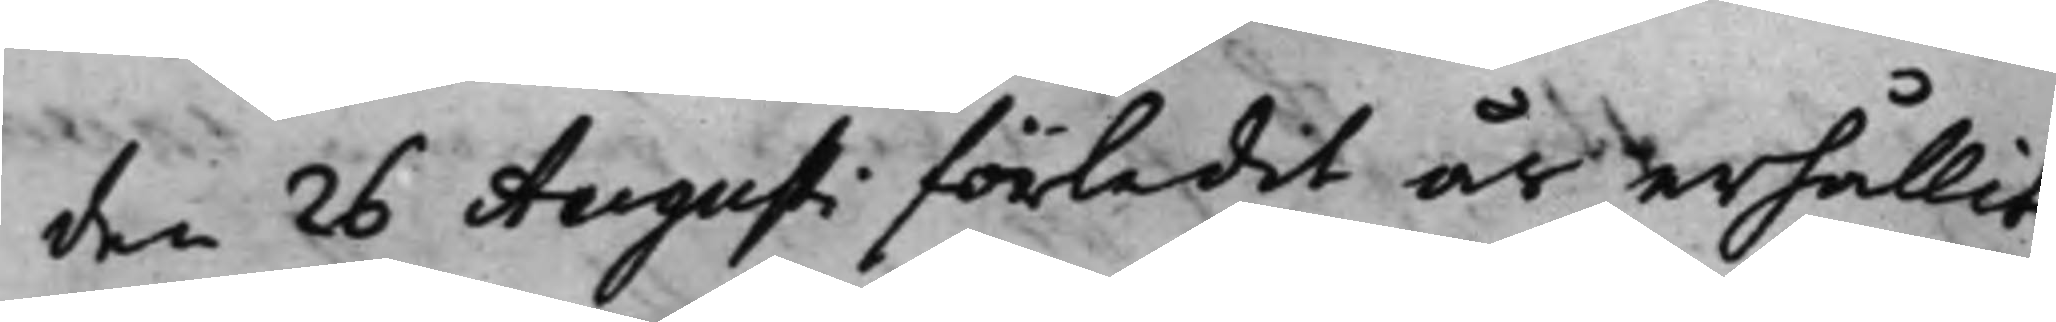den 26 Augusti förledit år erhållit
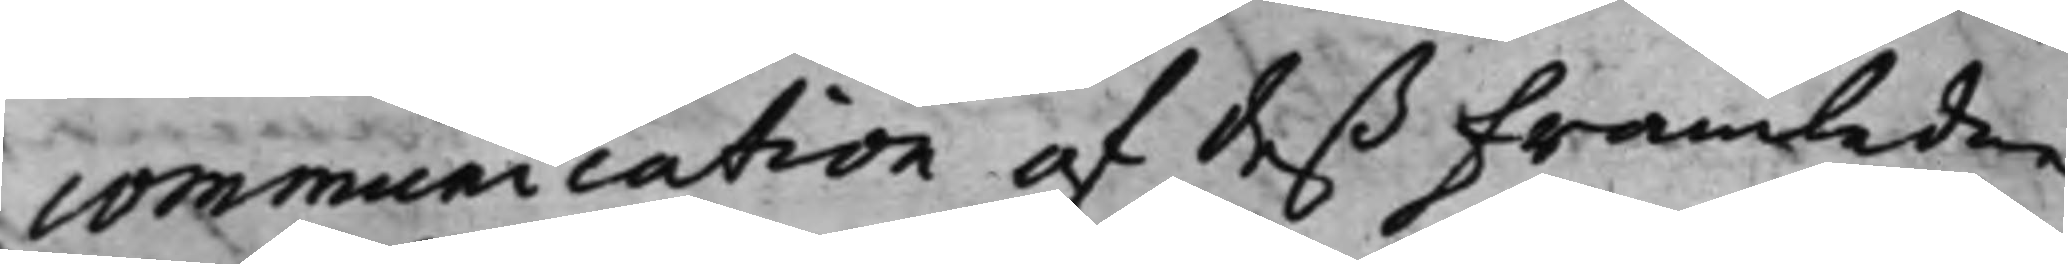communication af deß Framledne
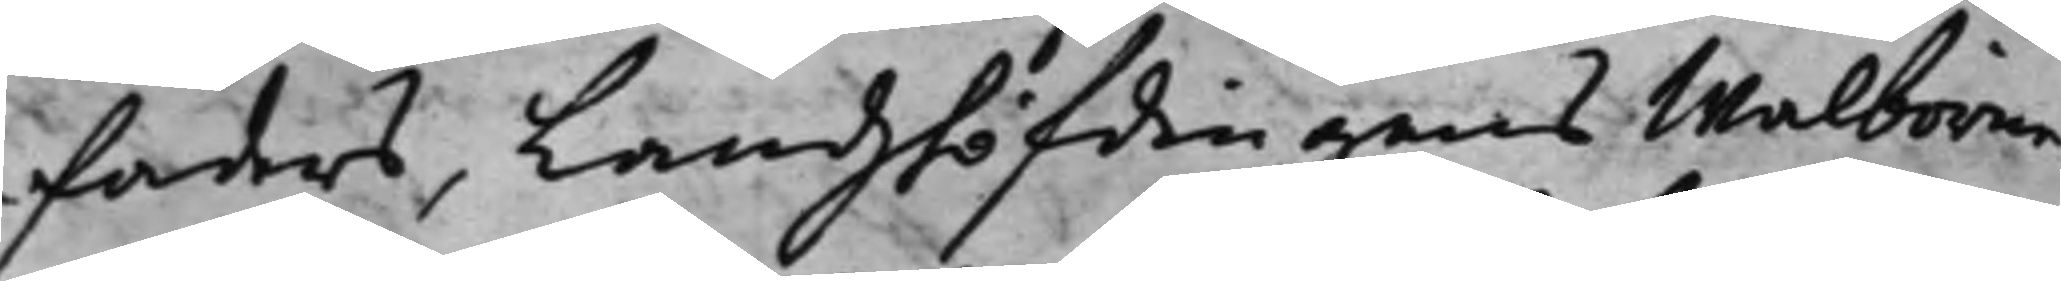Faders, Landzhöfdingens Walborne
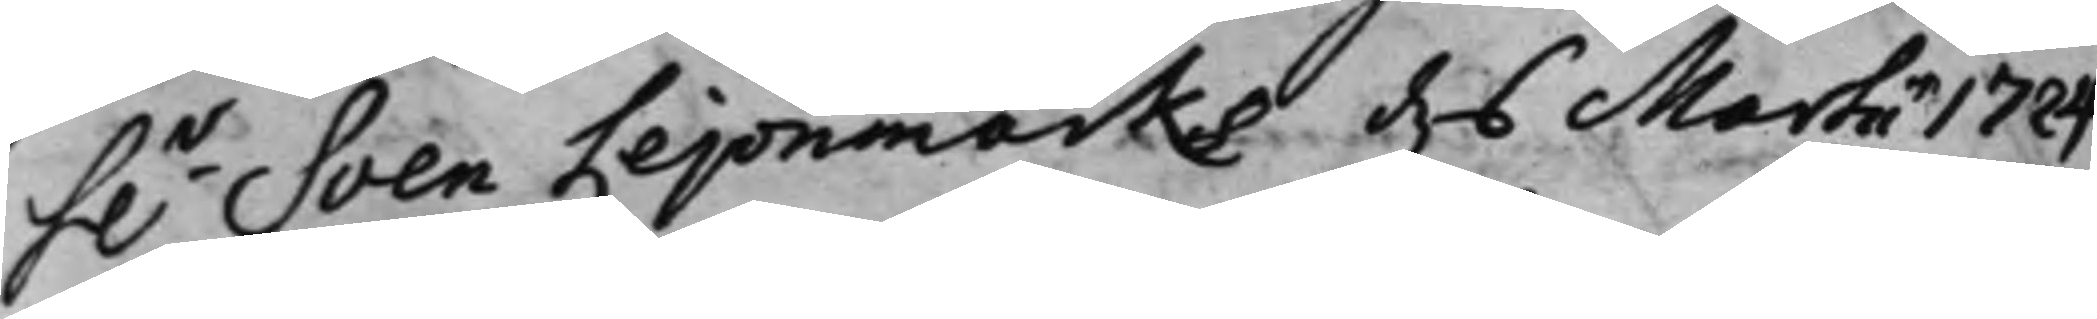h.r Sven Lejonmarks d. 6 Martii 1724
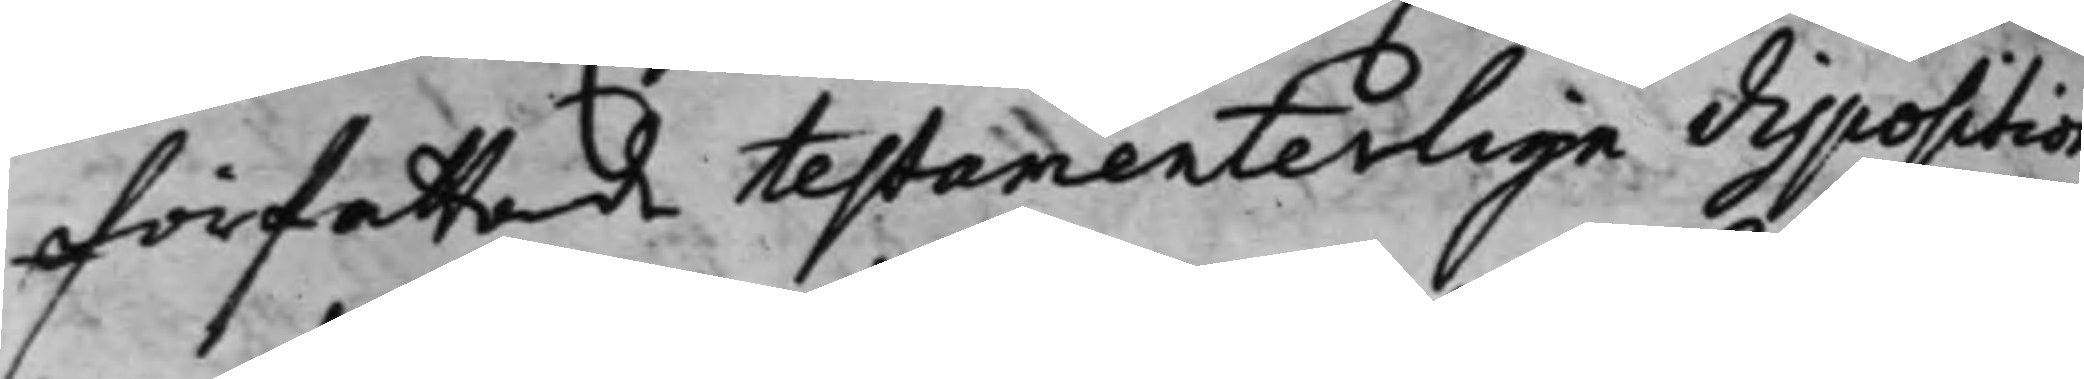författade testamenterlige disposition
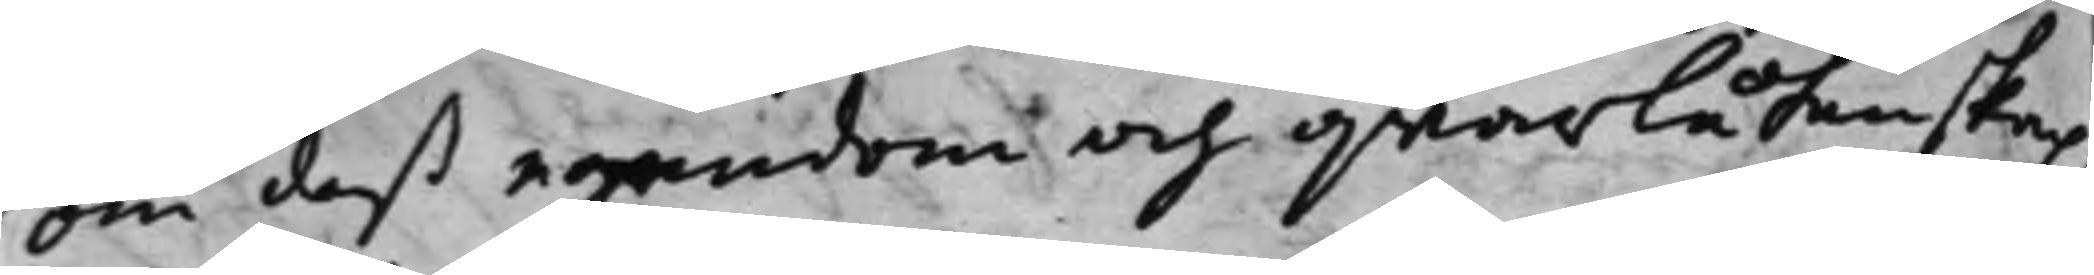om deß egendom och qwarlåtenskap,
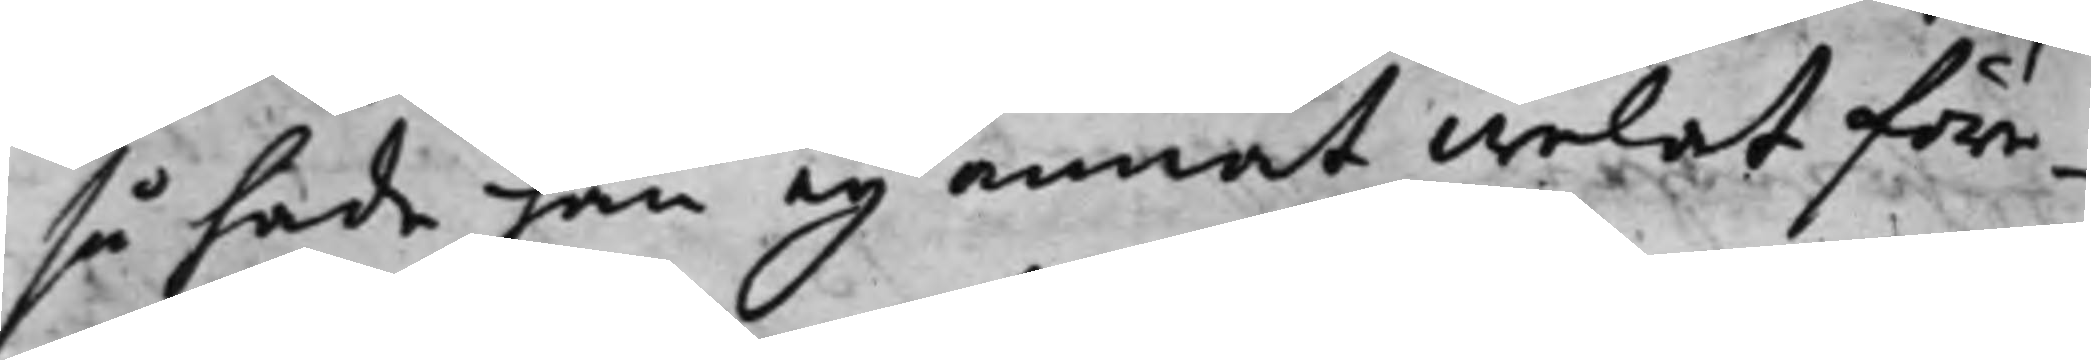så hade han ey annat welat före¬
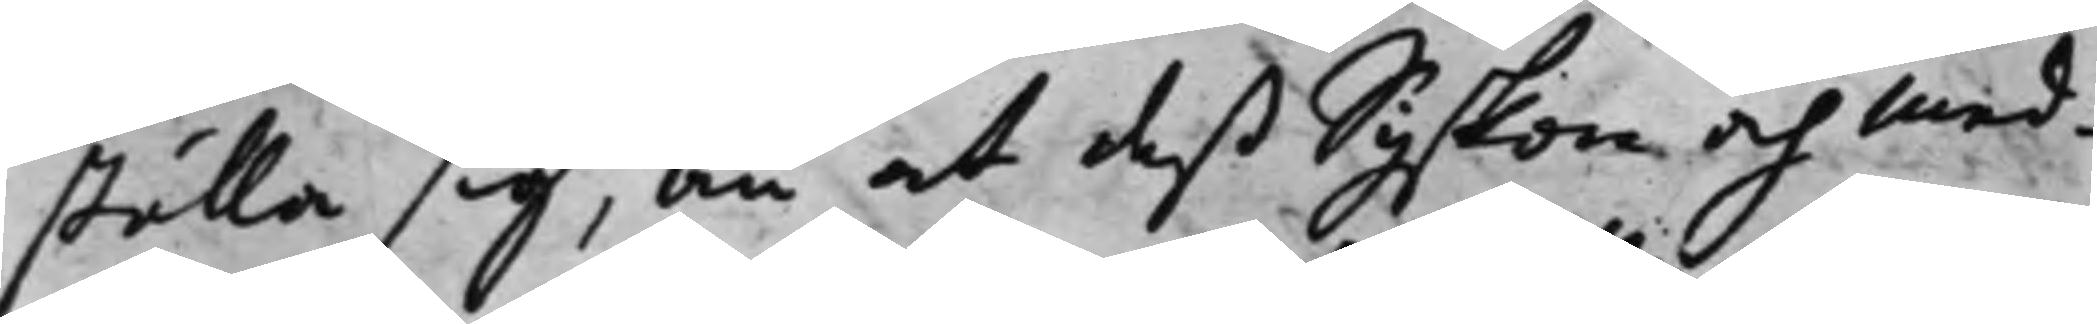ställa sig, än at deß Syskon och med¬
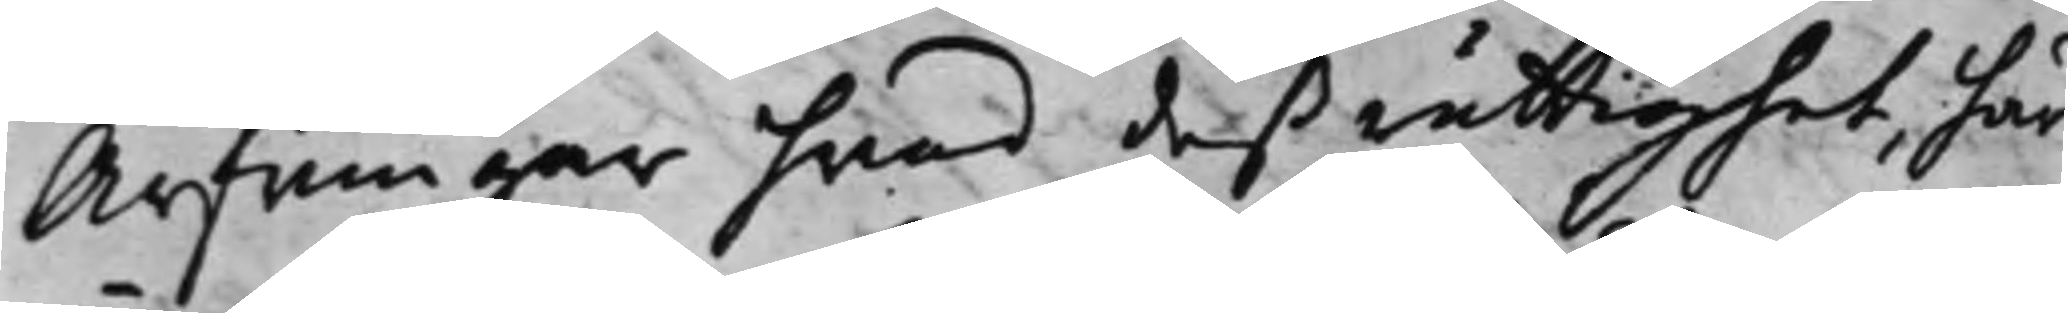Arfwingar hvad deß rättighet, här¬
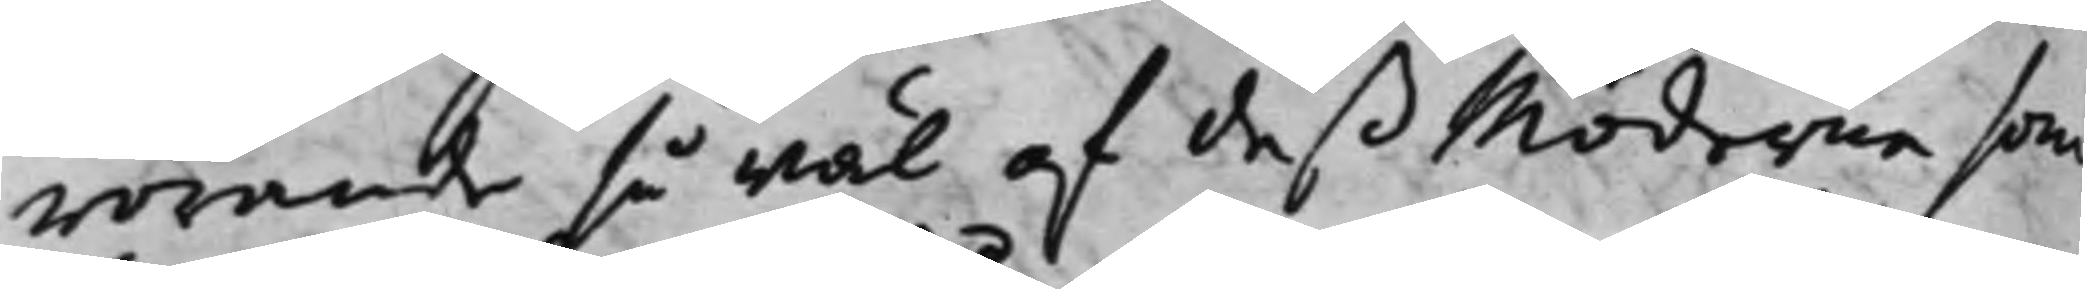rörande så wäl af deß Möderne som
